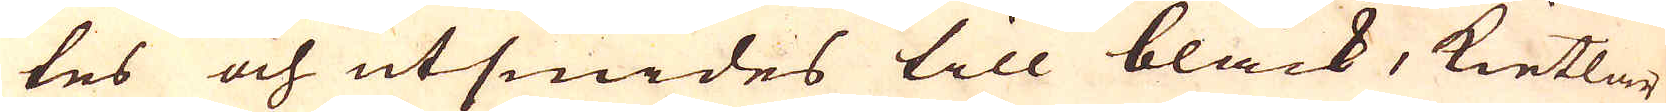tes och utsmides till bläck, Kietlar
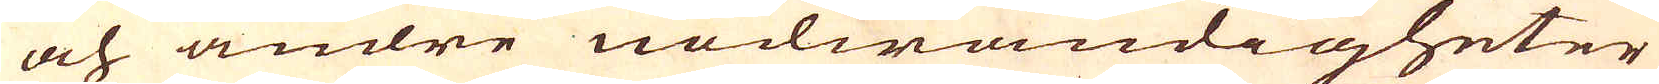och andre nödwändigheter
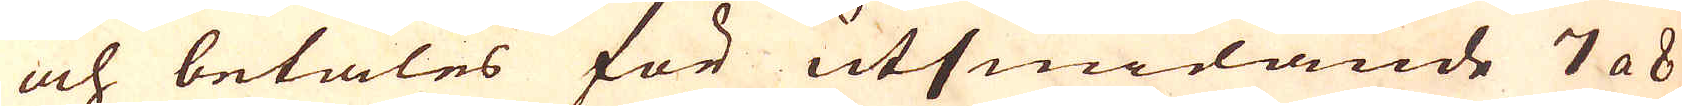och betales för utsmidande 7 a 8
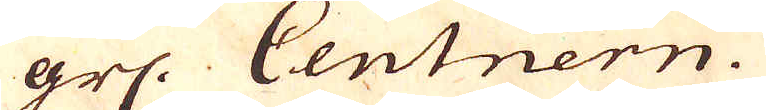grs. Centnern.
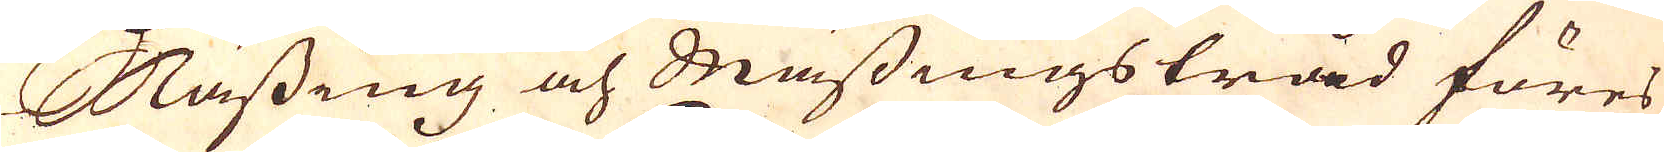Mässing och Mässingstråd föres
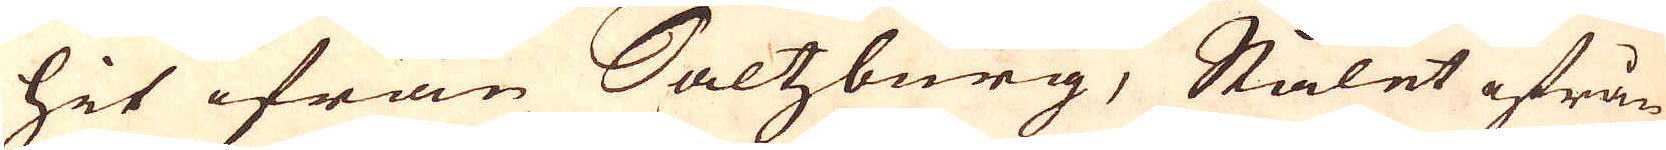hit ifrån Saltzburg, Stålet ifrån
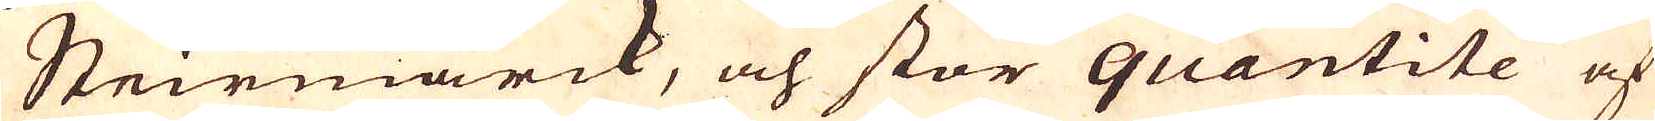Steirmärck, och stor quantitée af
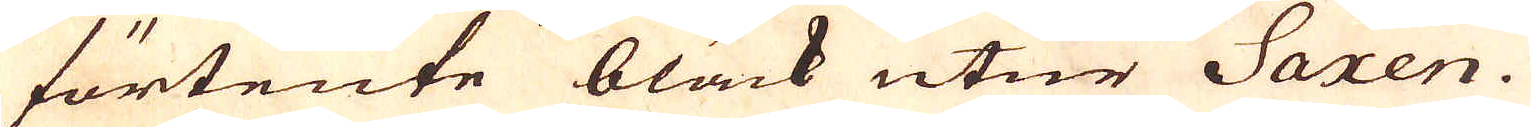förtente bläck utur Saxen.
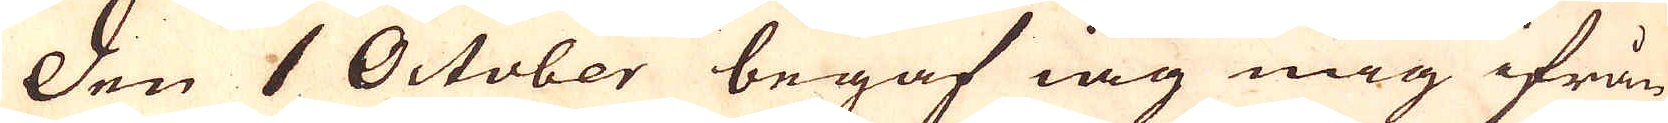Den 1 October begaf iag mig ifrån
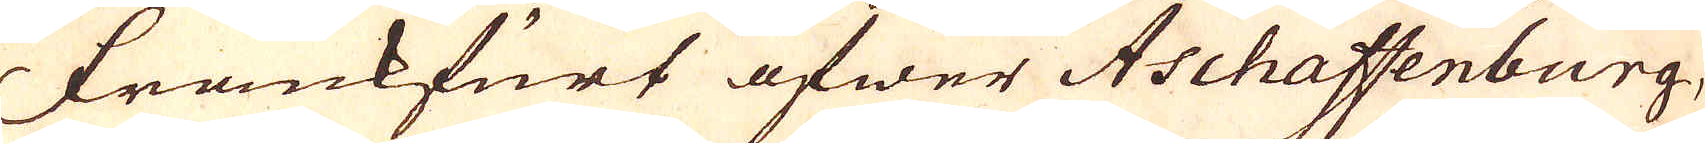Frankfurt öfwer Aschaffenburg,
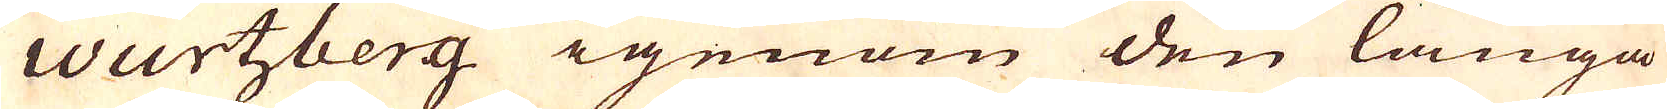Wurtzberg igenom den långa
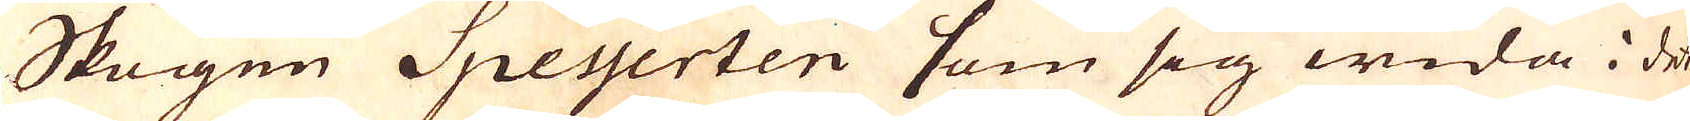Skogen Speyerten som sig wida i det
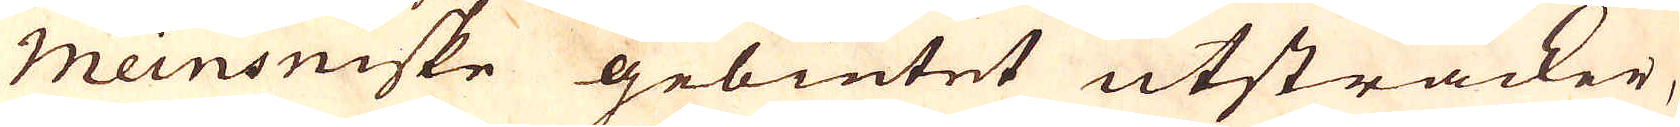Meinsniske gebietet utsträcker,
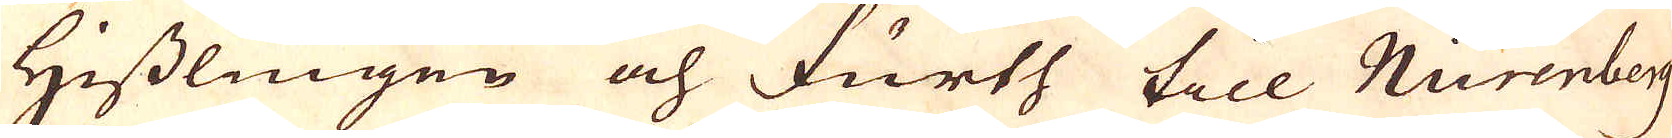Hisslingen och Furth till Nurenberg
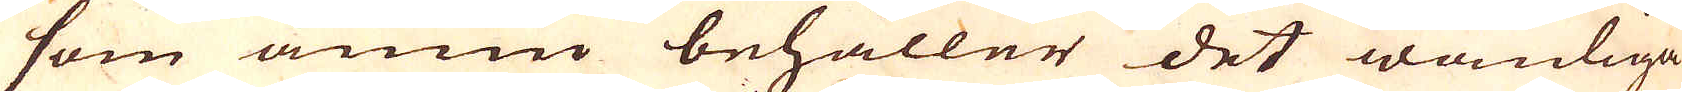som ännu behåller det wanliga
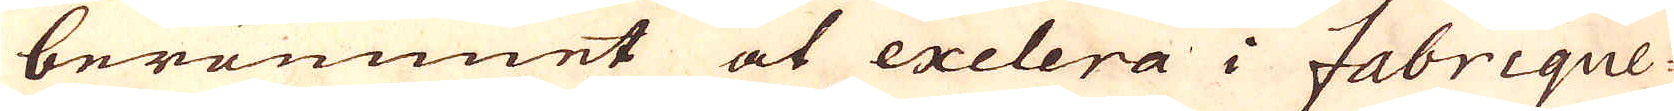berömmet at exelera i Fabrique-
